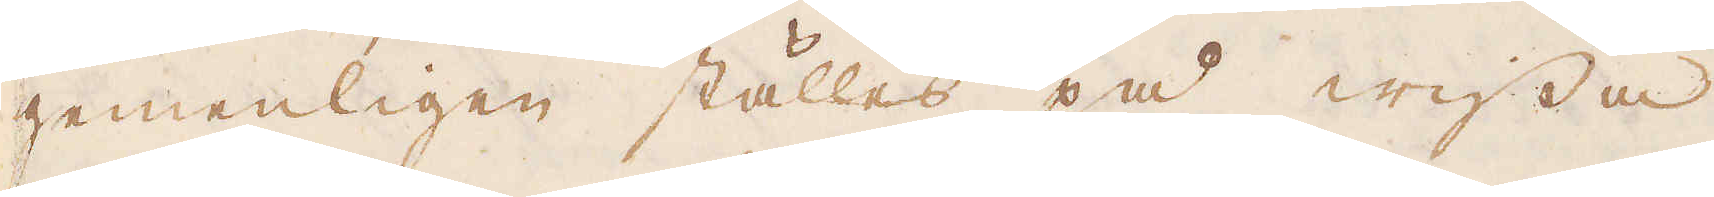gemenligen ställes på wissa
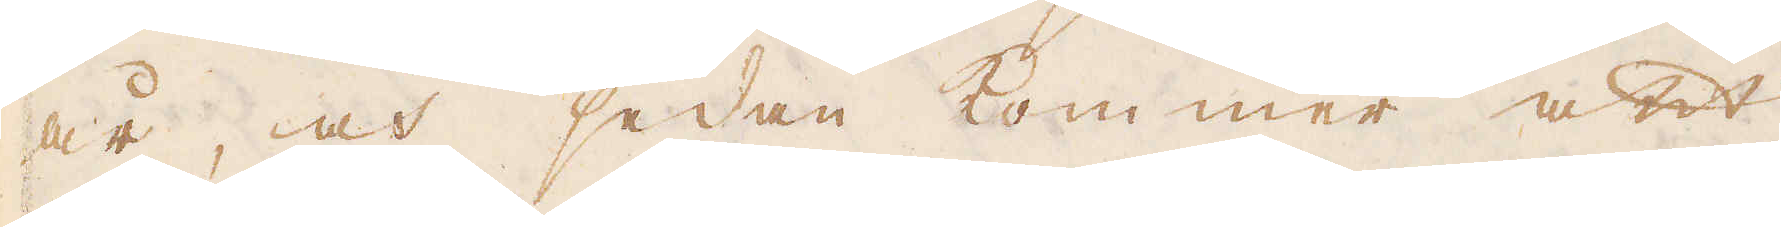år, och sedan kom mer att
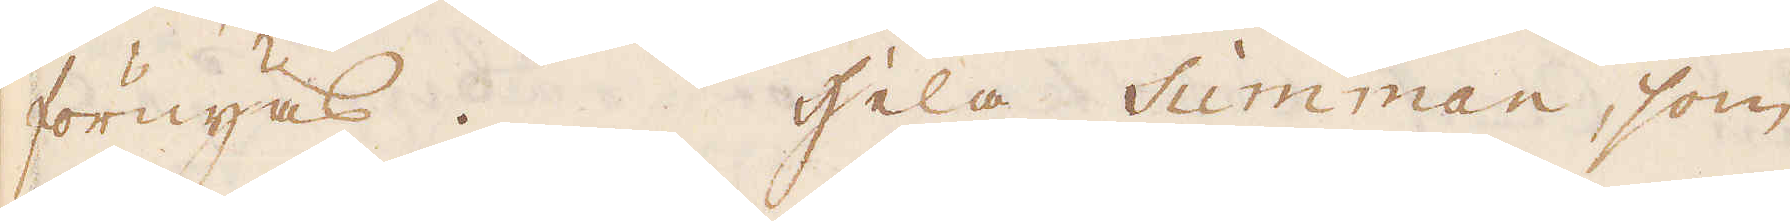förnyas. Hela Summan, som
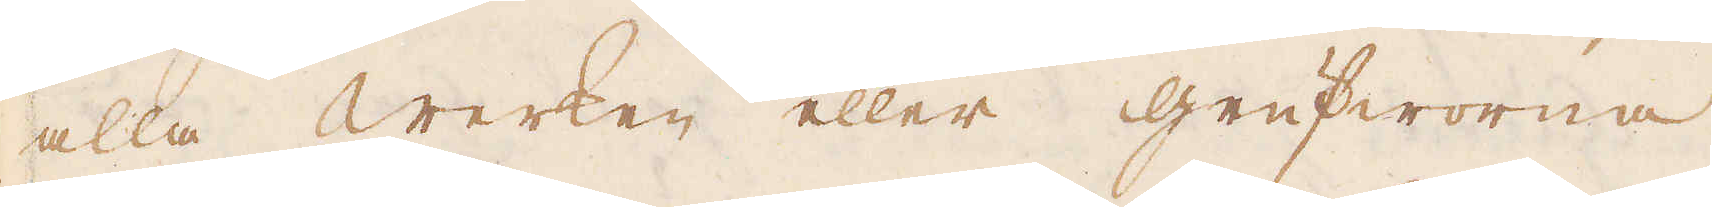alla werken eller grufworna
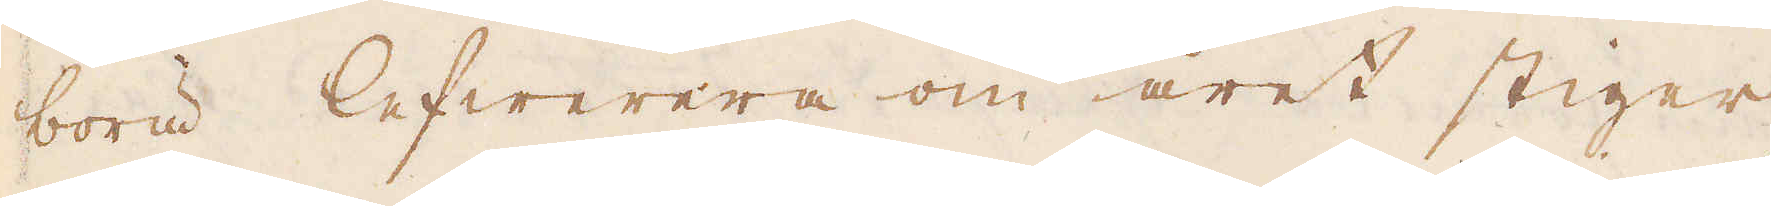böra lefwerera om året stiger
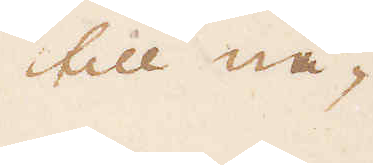till nå-
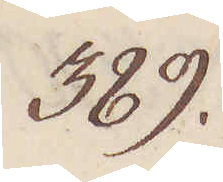389.
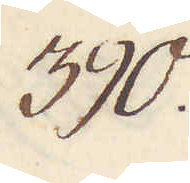390.
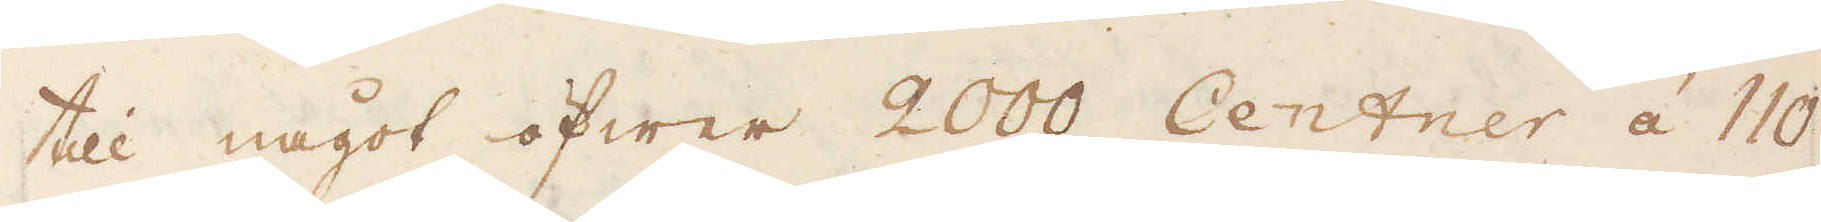till något öfwer 2000 Centrer à 110
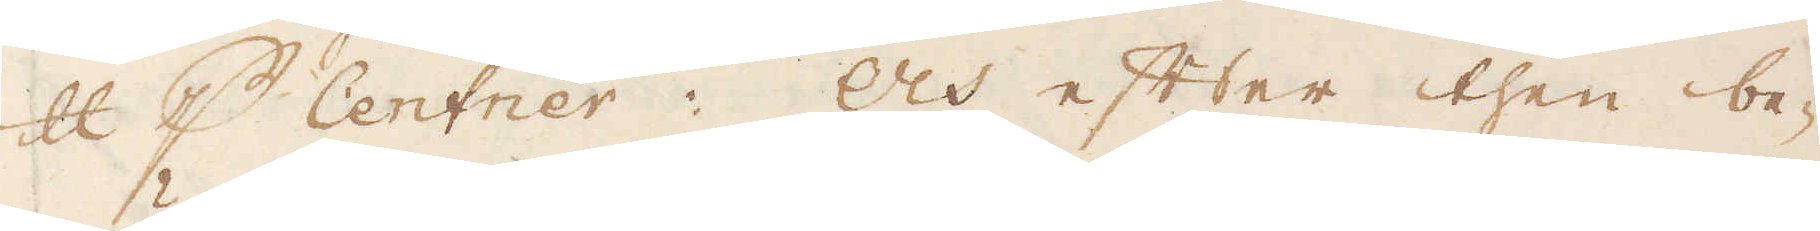skålpund p Centrer. Och efter then be-
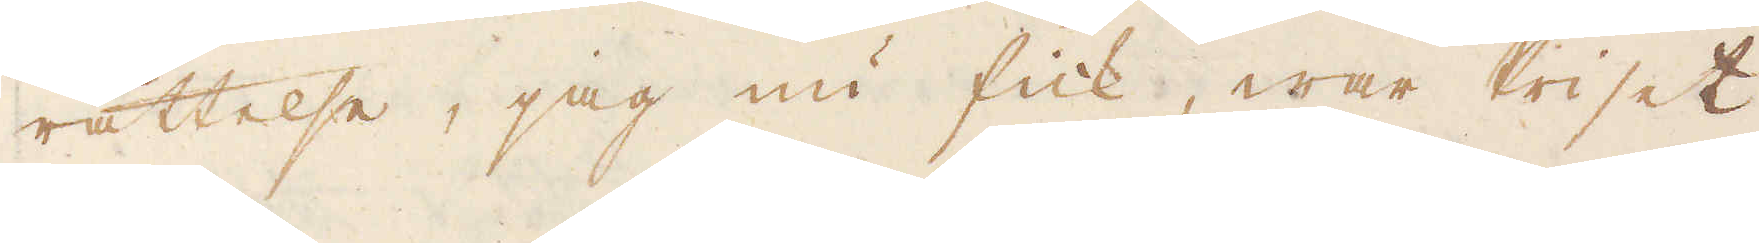rättelse, jag nu fick, war Priset
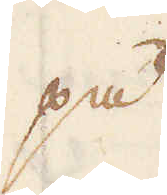på
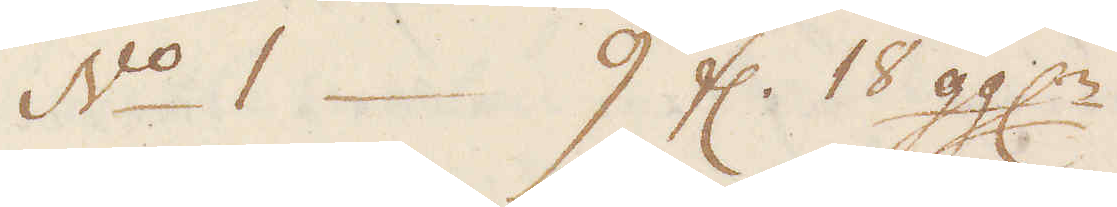No. 1 – 9 fl. 18 ggl:r
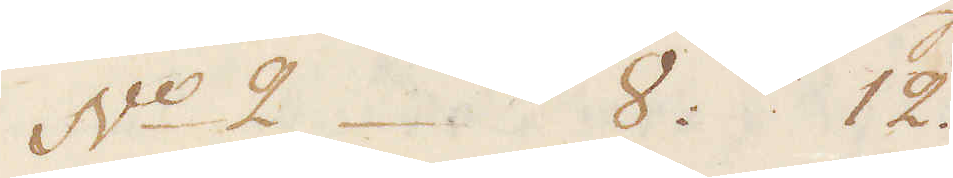No 2 – 8: 12.
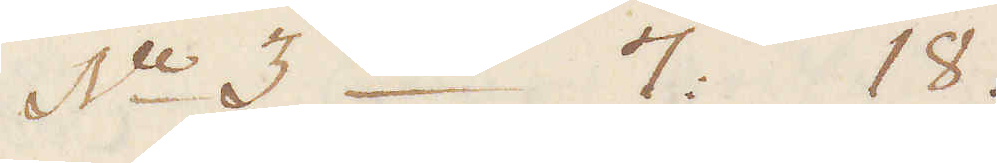No 3 – 7: 18.
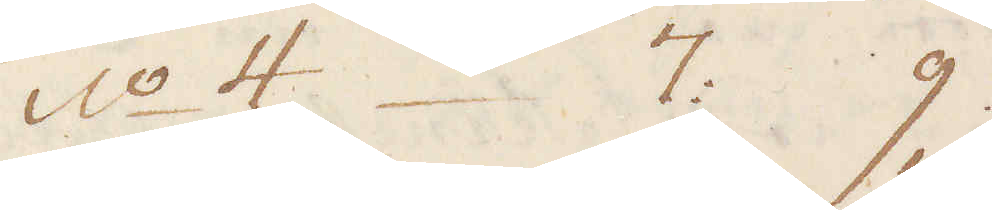No 4 – 7: 9
